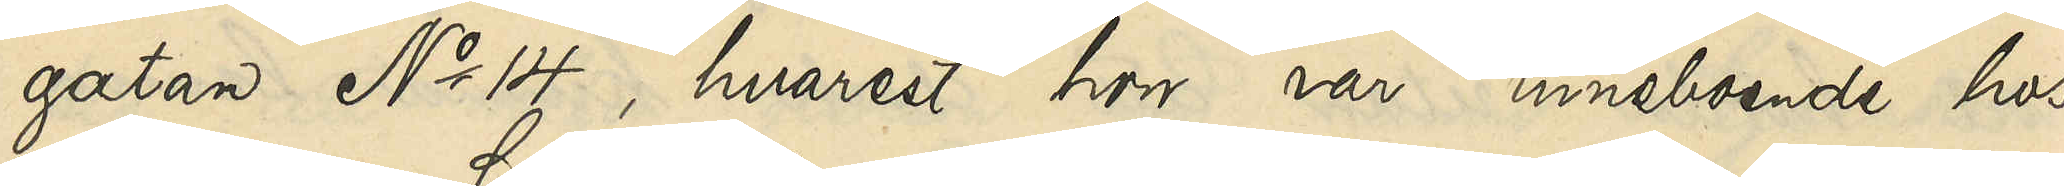gatan No 14, hvarest hon var inneboende hos
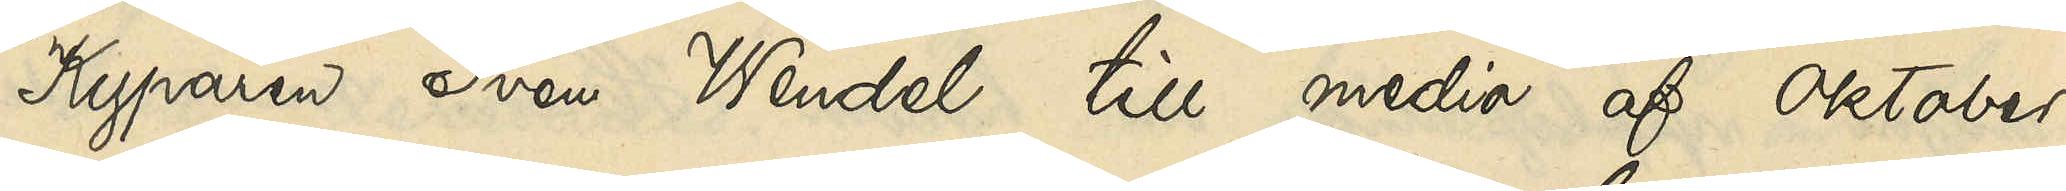Kyparen Sven Wendel till medio af Oktober
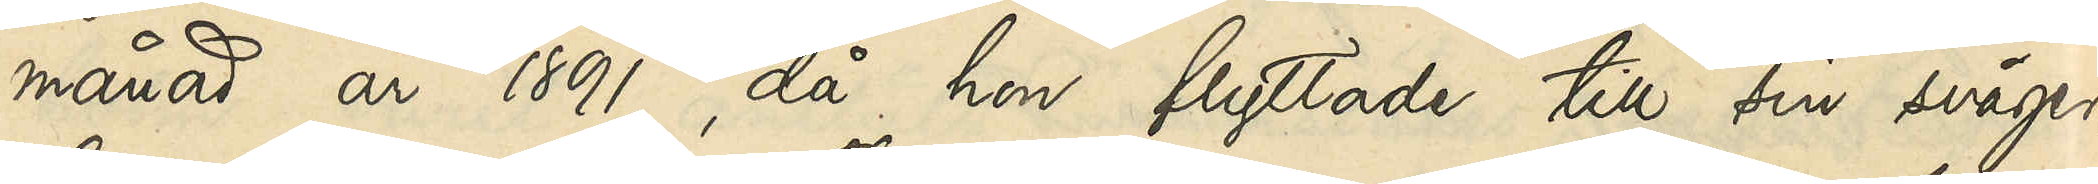månad år 1891, då hon flyttade till sin svåger
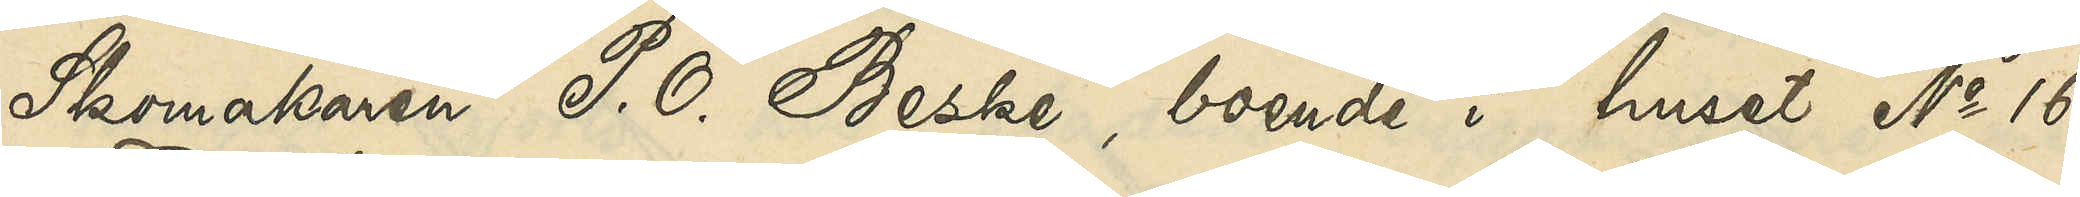Skomakaren P. O. Beske, boende i huset No 16
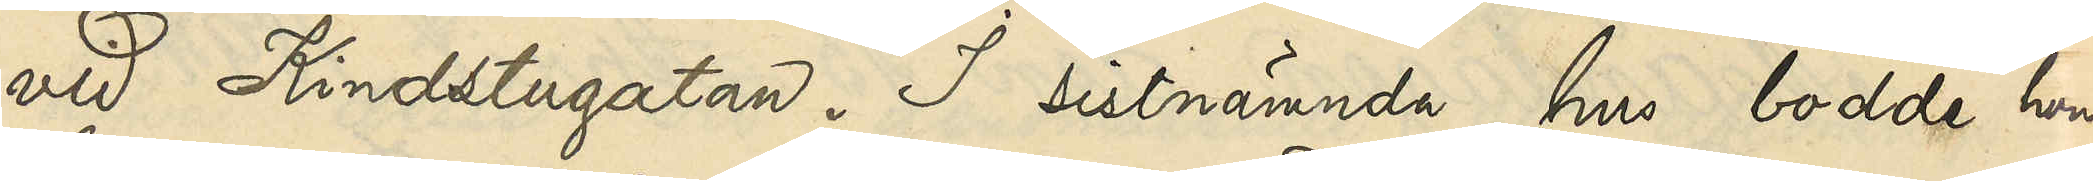vid Kindstugatan. I sistnämnda hus bodde hon
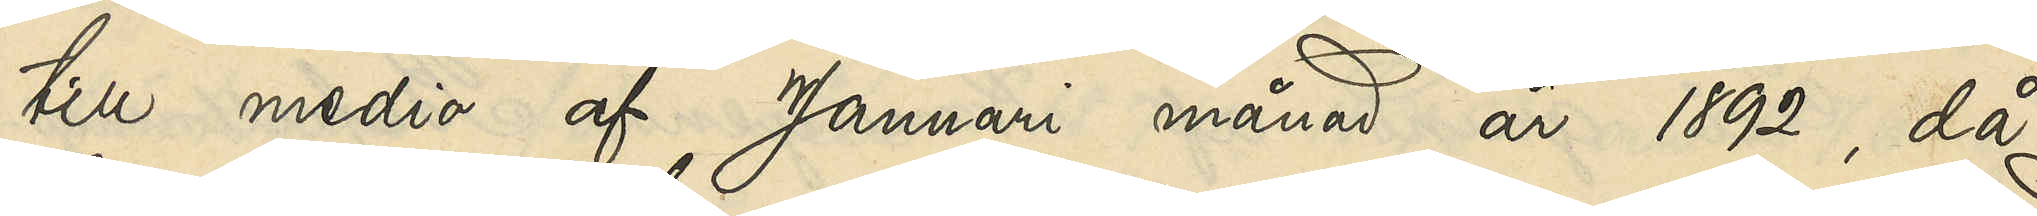till medio af Januari månad år 1892, då
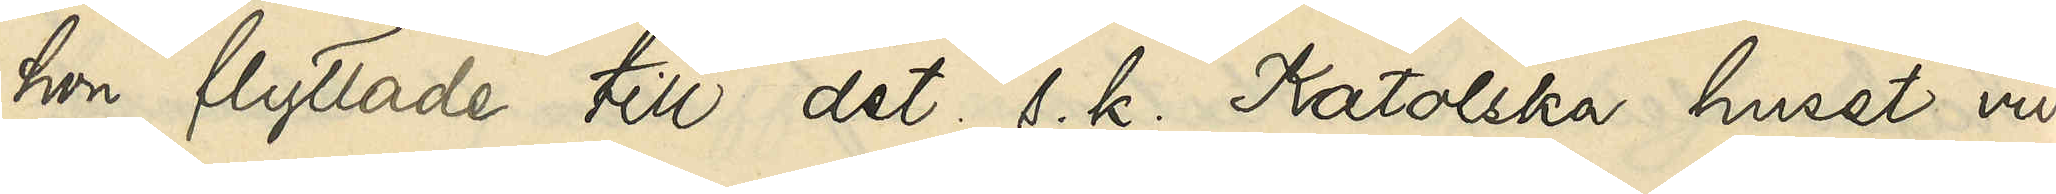hon flyttade till det s. k. Katolska huset vid
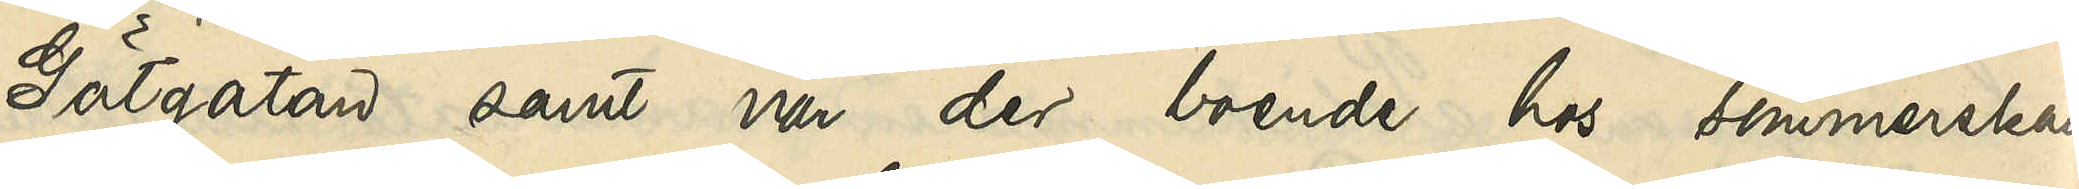Götgatan samt var der boende hos sömmerskan
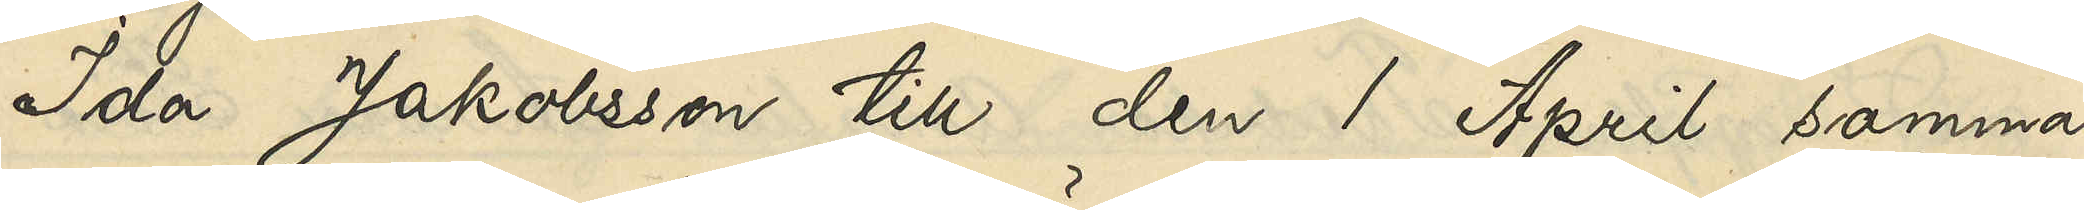Ida Jakobsson till den 1 April samma
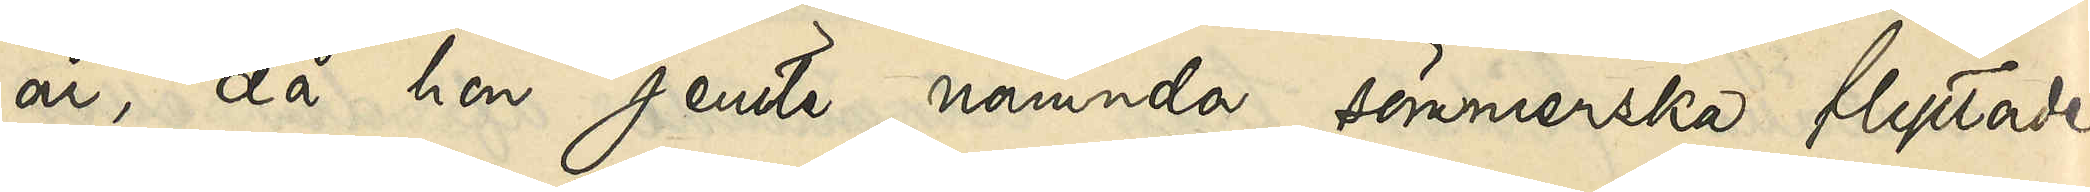år, då hon jemte nämnda sömmerska flyttade
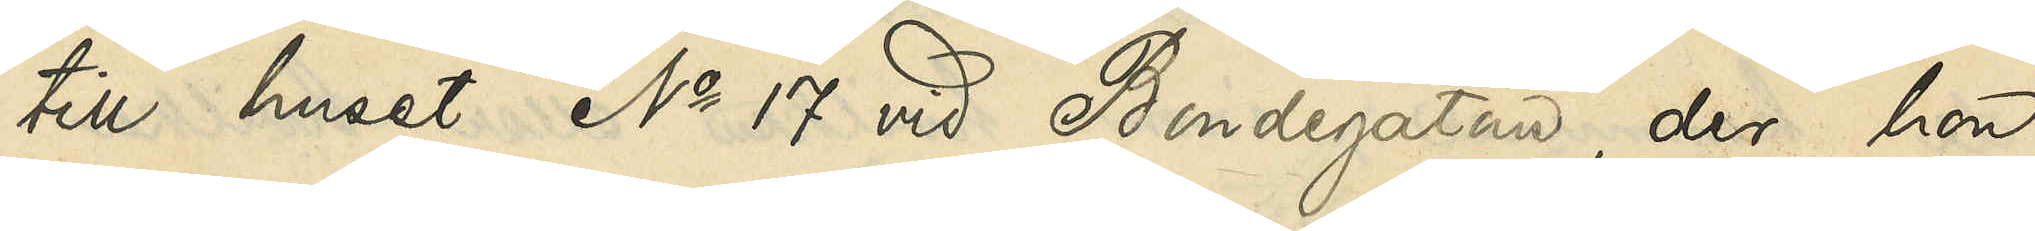till huset No 17 vid Bondegatan, der hon
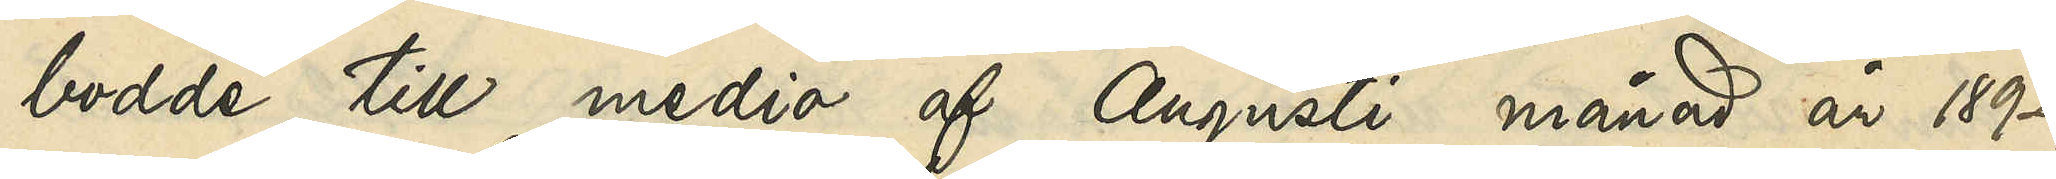bodde till medio af Augusti månad år 1892,
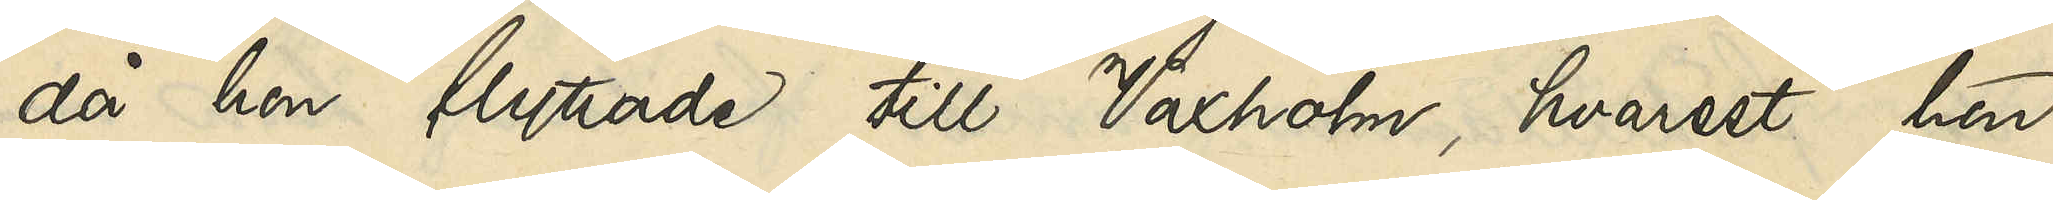då hon flyttade till Waxholm, hvarest hon
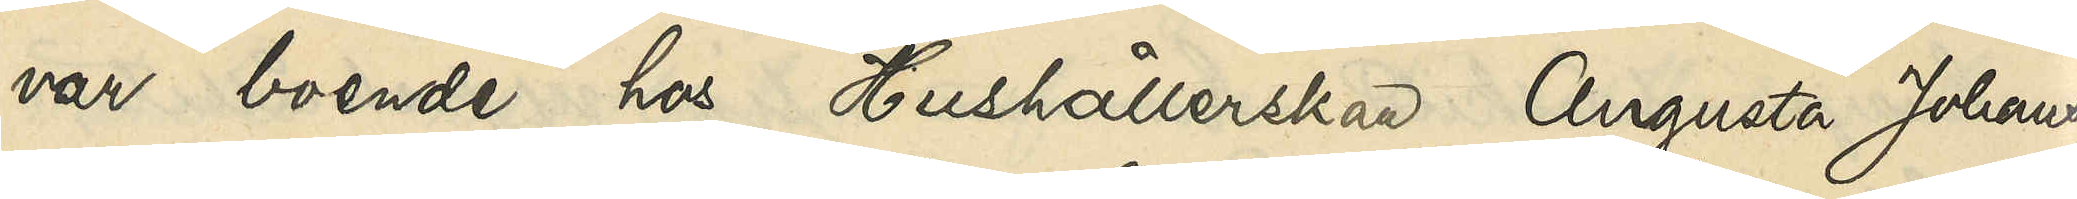var boende hos Hushållerskan Augusta Johans¬
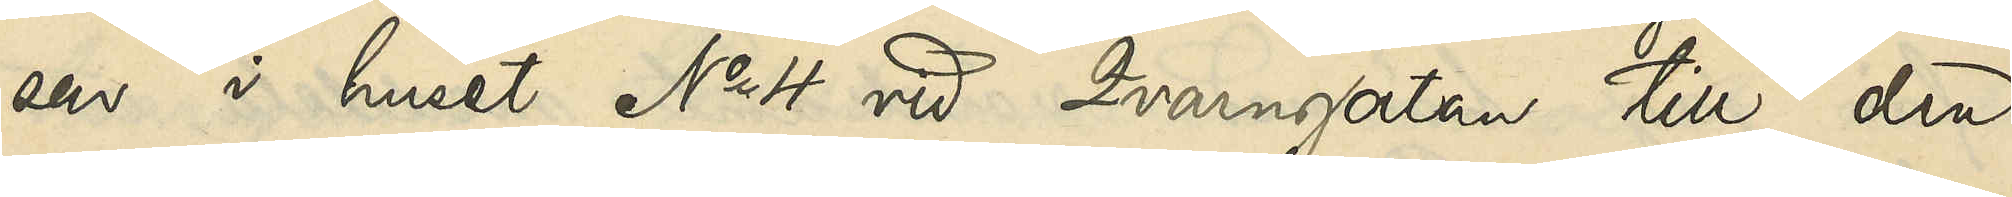son i huset No 4 vid Qvarngatan till den
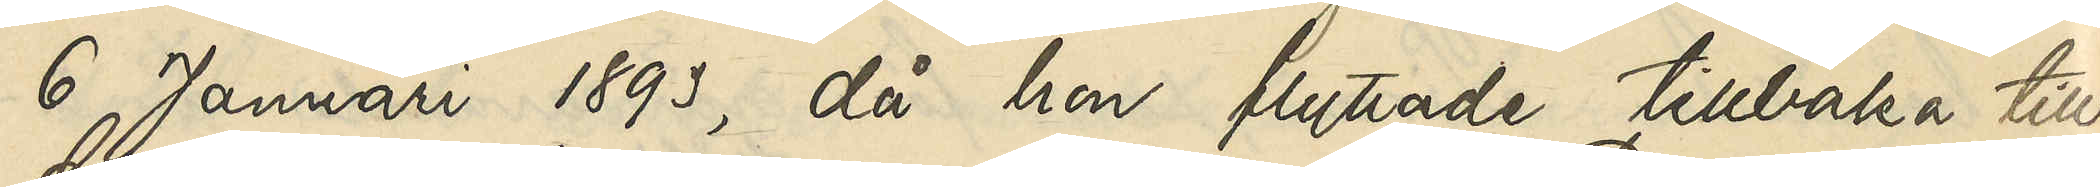6 Januari 1893, då hon flyttade tillbaka till
